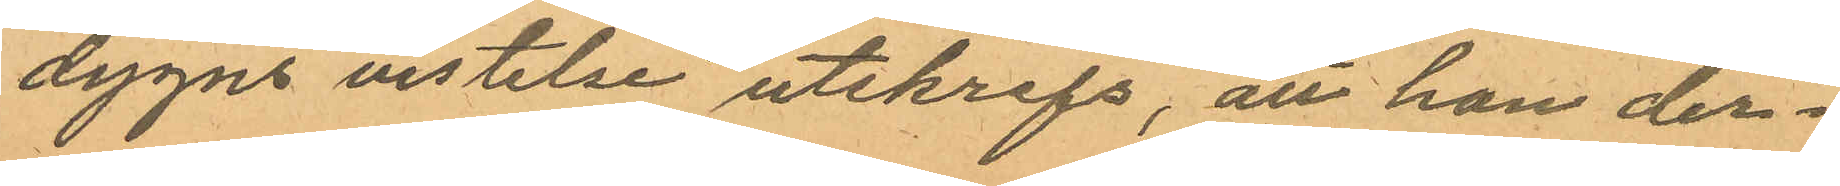dygns vistelse utskrefs, att han der¬
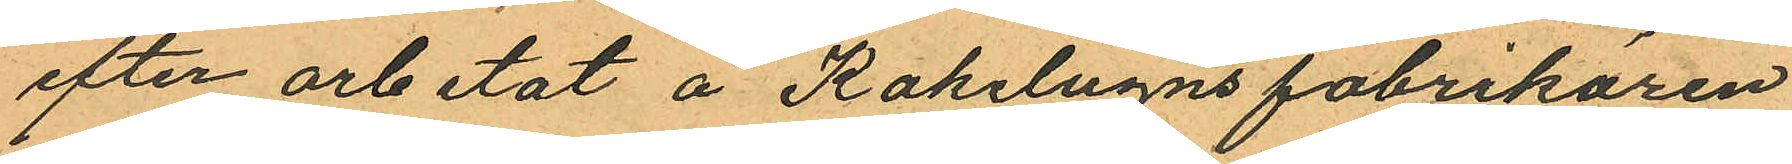efter arbetat å Kakelugnsfabrikören
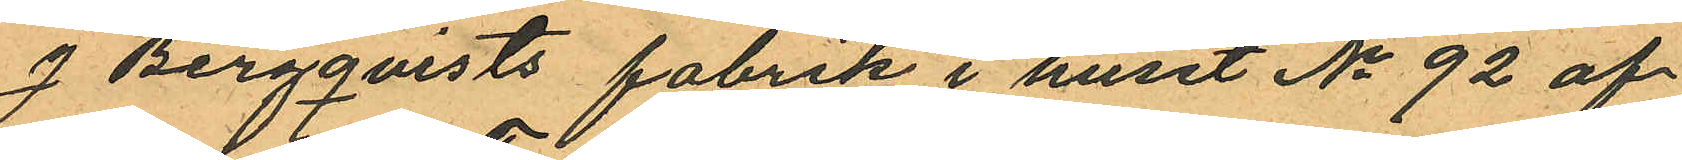J Bergqvists fabrik i huset No 92 af
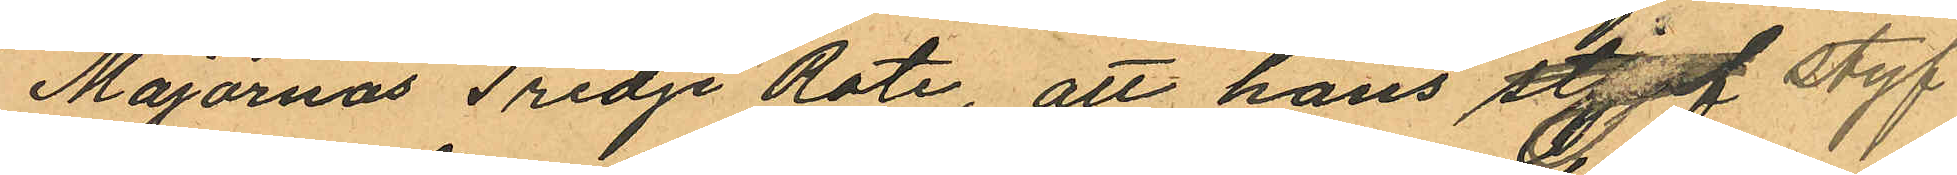Majornas Tredje Rote, att hans styget styf
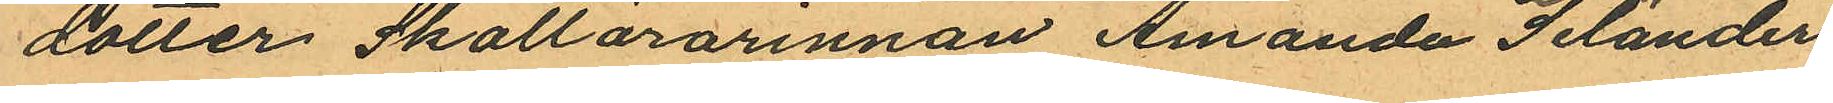dotter Skollärarinnan Amanda Selander
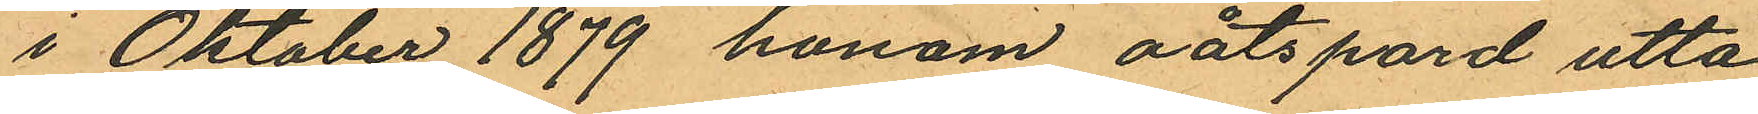i Oktober 1879 honom oåtspord utta¬
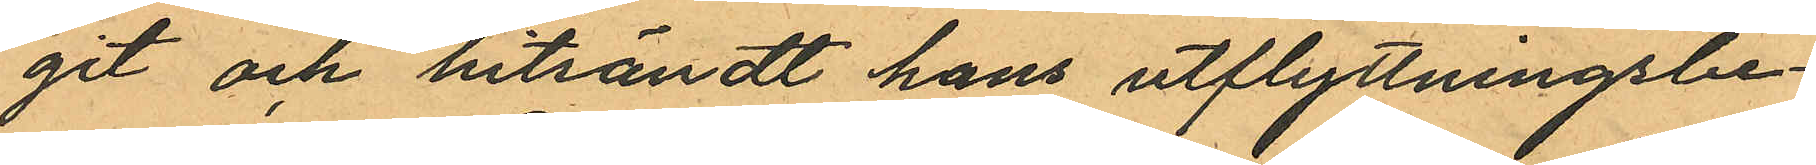git och hitsändt hans utflyttningsbe¬
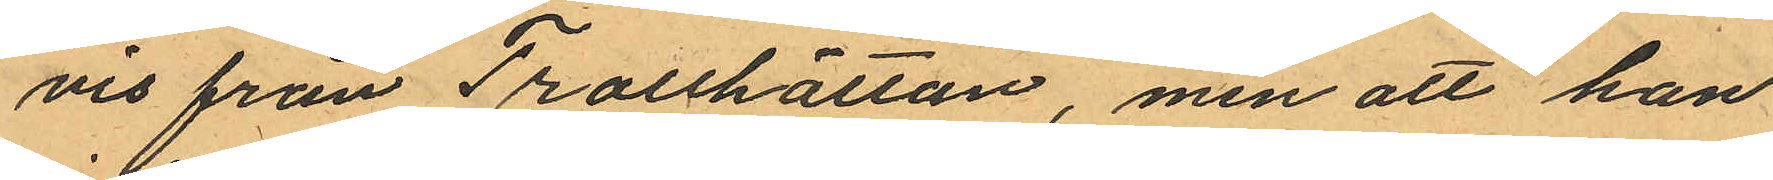vis från Trotthättan, men att han
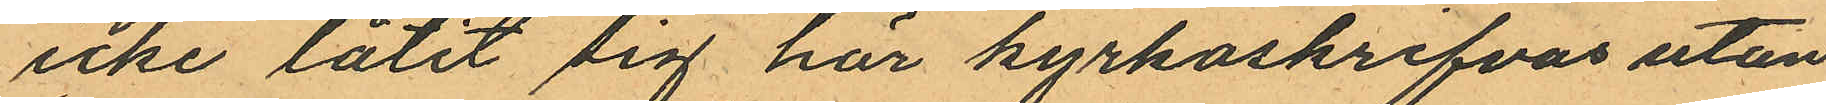icke låtit sig här kyrkoskrifvas utan
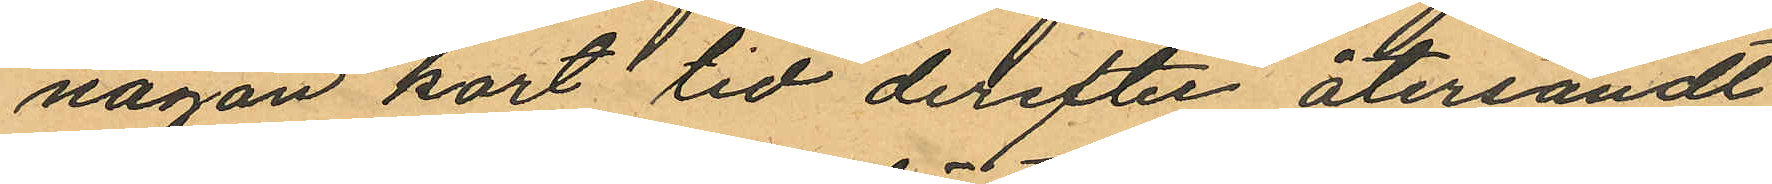någon kort tid derefter återsändt
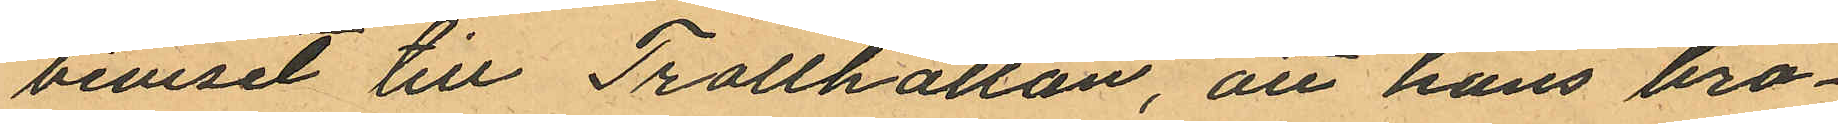beviset till Trollhättan, att hans bro¬
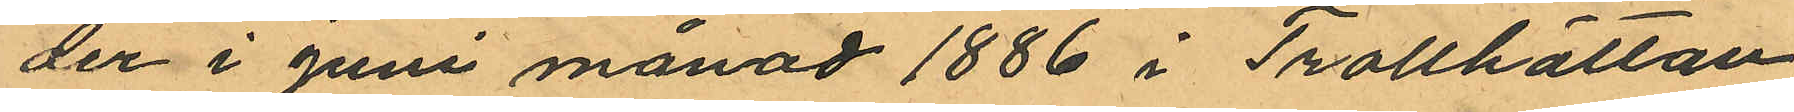der i Juni månad 1886 i Trollhättan
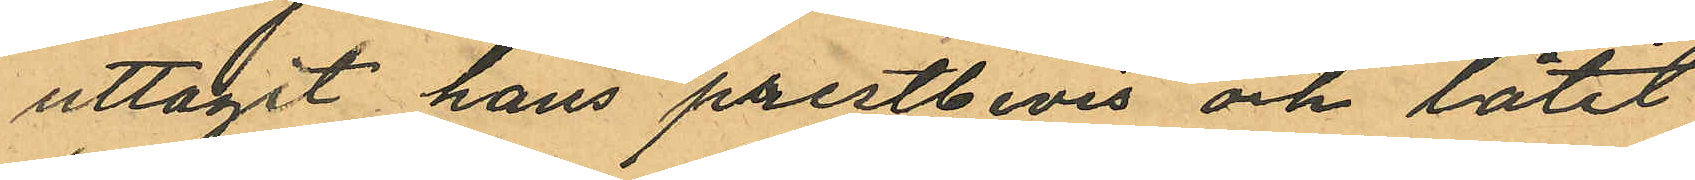uttagit hans prestbevis och låtit
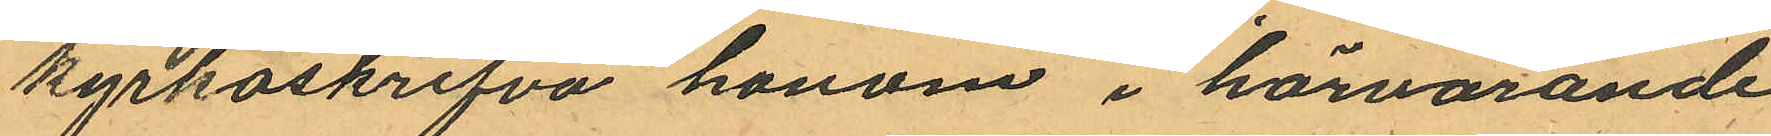kyrkoskrifva honom i härvarande
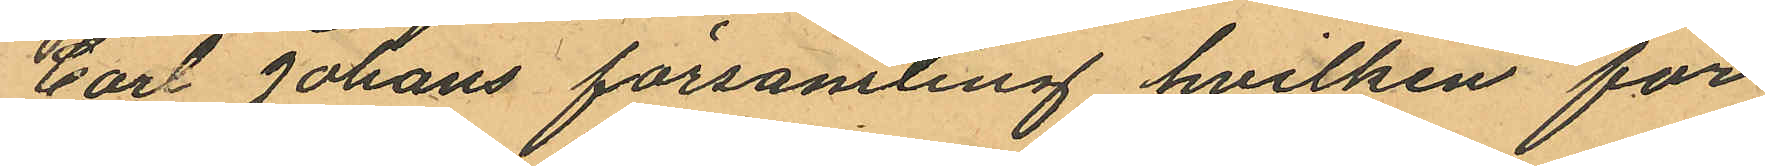Carl Jonans församling hvilken för¬
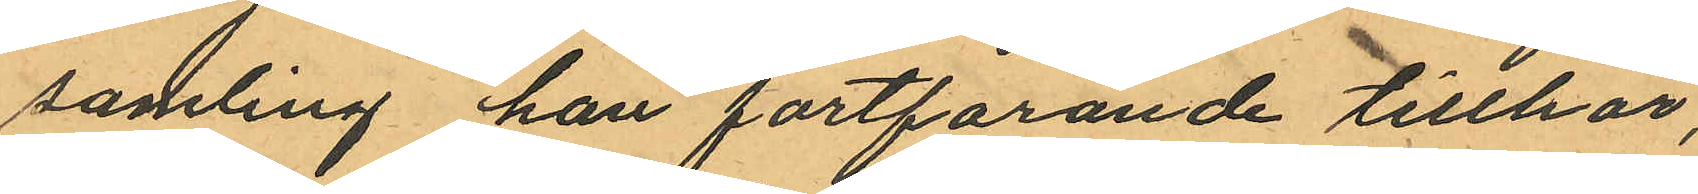samling han fortfarande tillhör,
